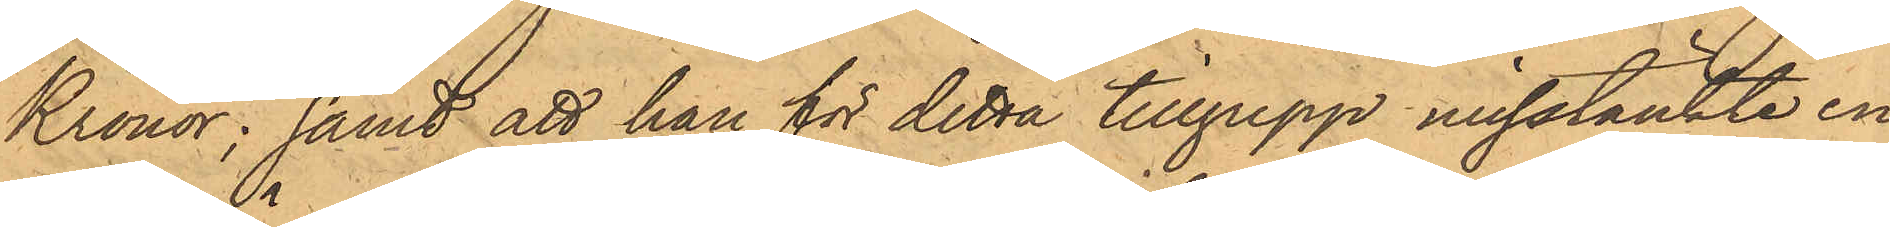Kronor; samt att han för detta tillgrepp misstänkte en
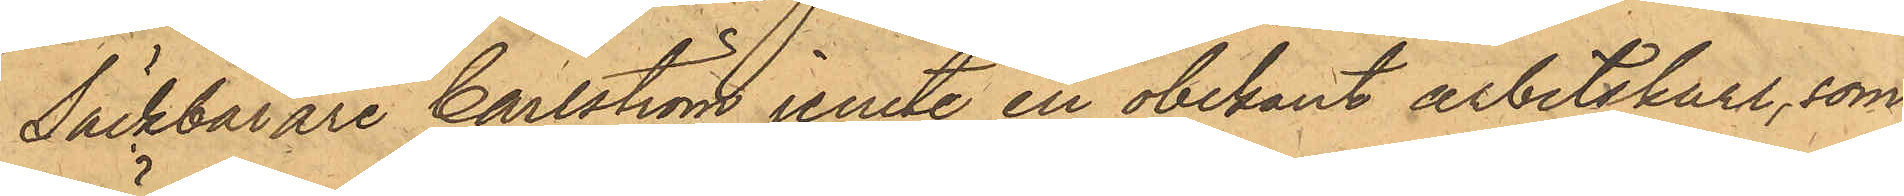Säckbärare Carlström jemte en obekant arbetskarl, som
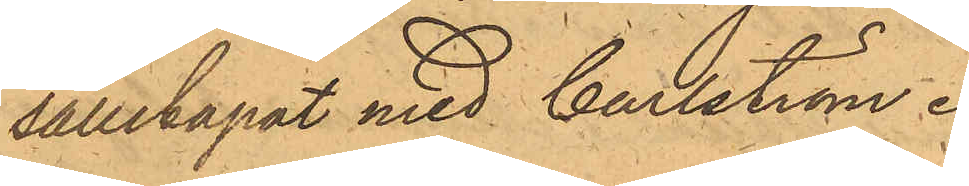sällskapat med Carlström.
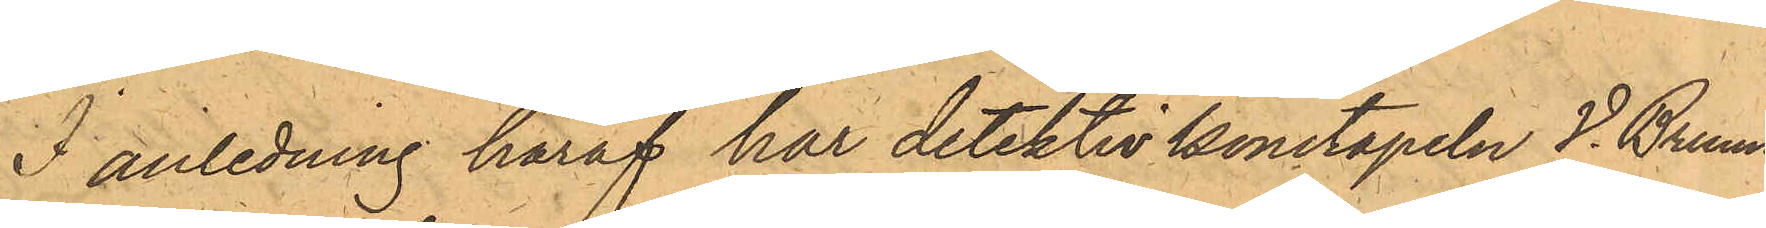I anledning häraf har detektivkonstapeln V. Bruun
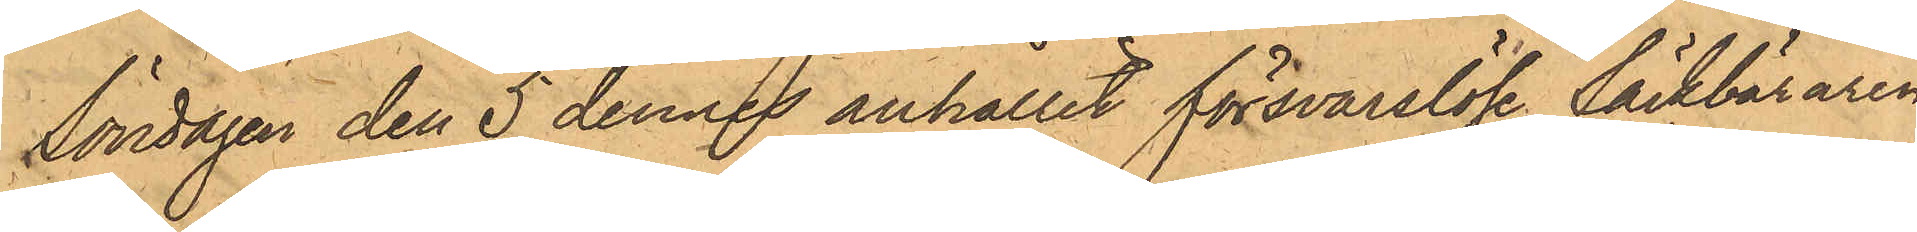Söndagen den 5 dennes anhållit försvarslöse Säckbäraren
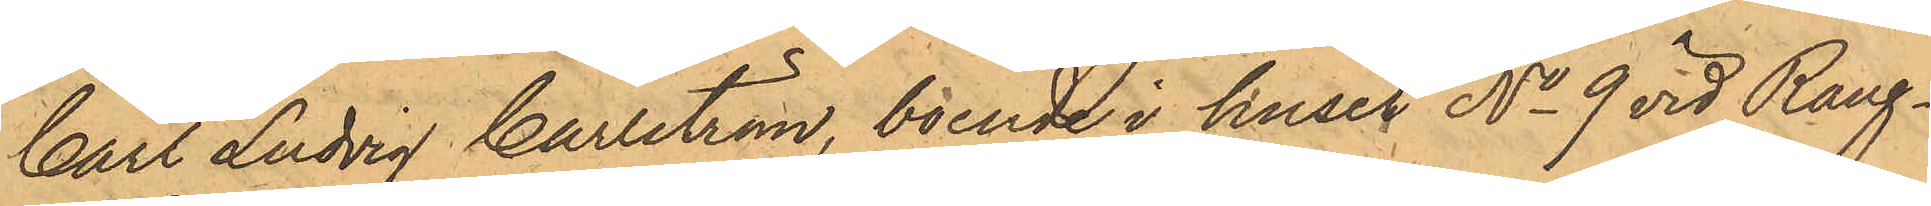Carl Ludvig Carlström, boende i huset No 9 vid Rang¬
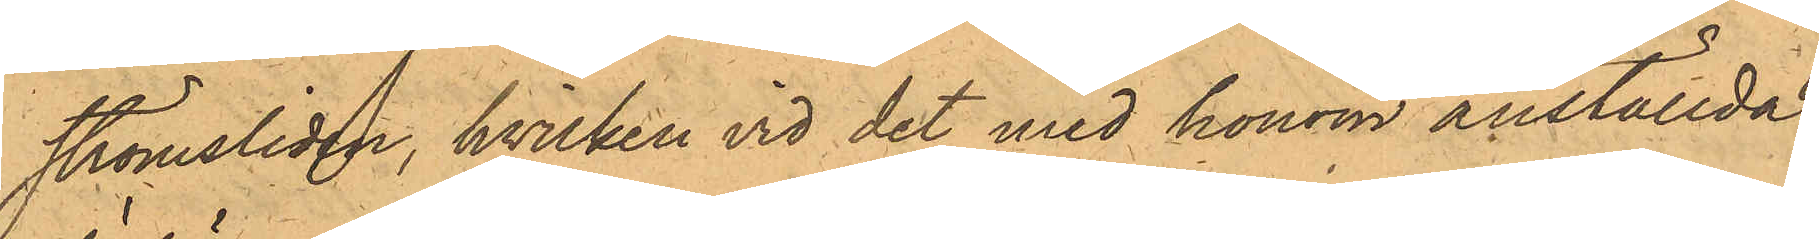strömsliden, hvilken vid det med honom anställda
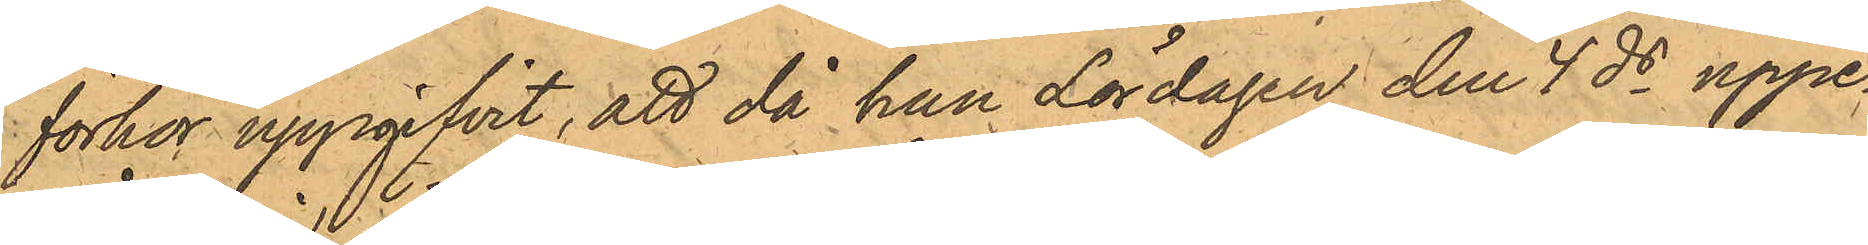förhör uppgifvit, att då han Lördagen den 4 ds uppe¬
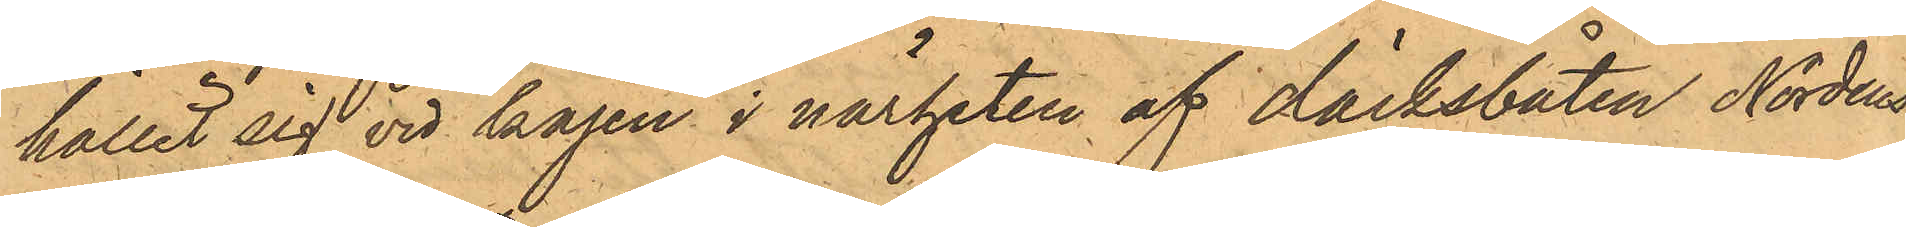hållit sig vid kajen i närheten af däcksbåten Nordens
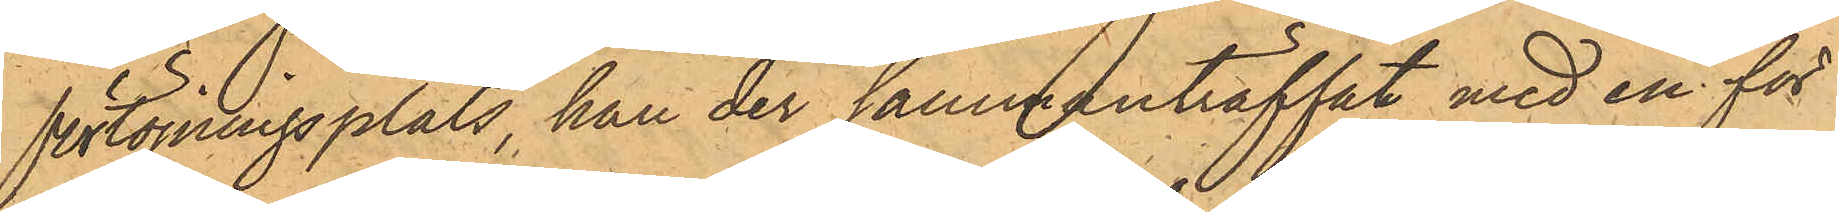förtöjningsplats, han der sammanträffat med en för
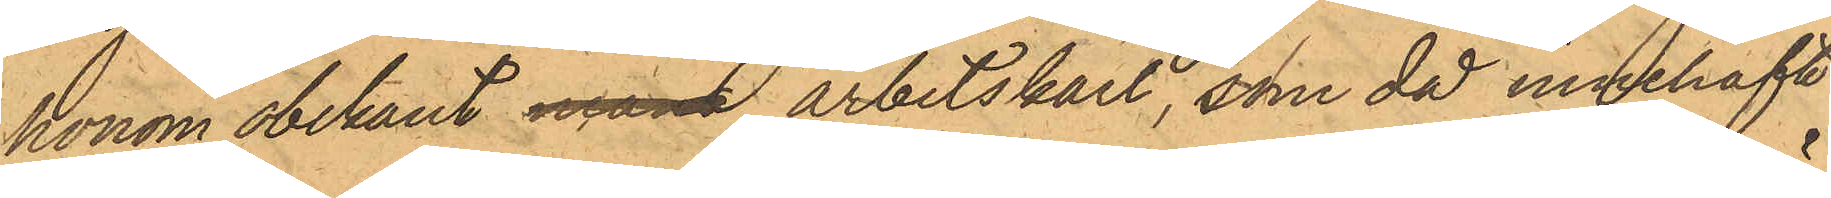honom obekant man arbetskarl, som då innehaft
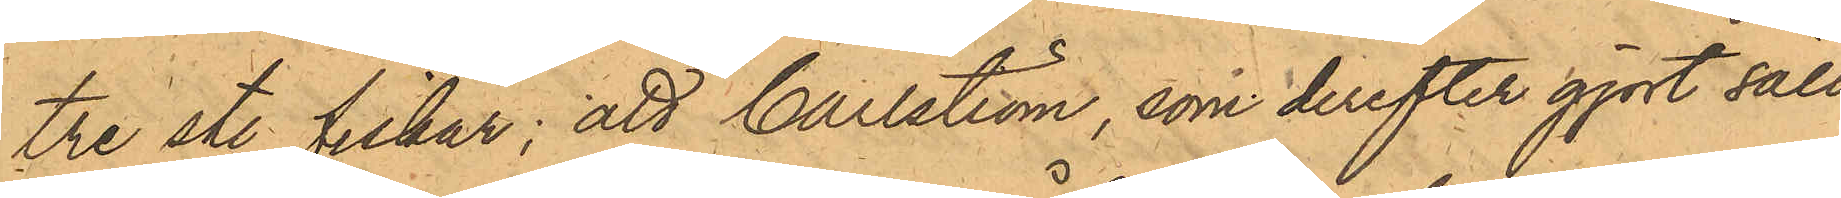tre st. fiskar; att Carlström, som derefter gjort säll¬
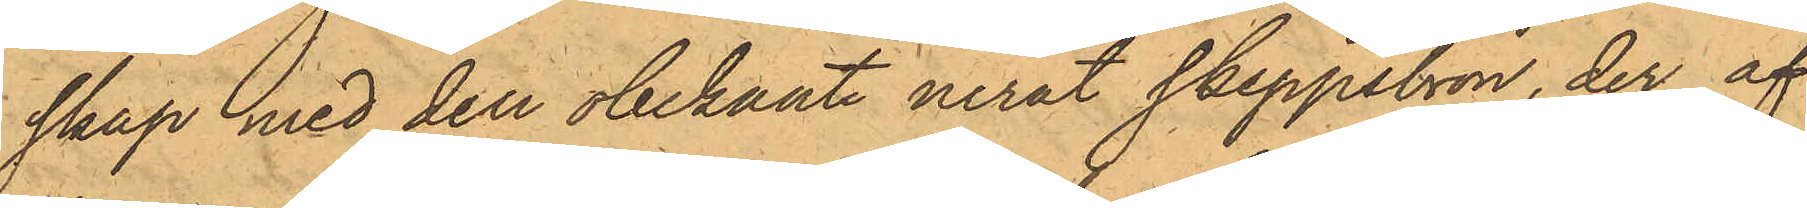skap med den obekante neråt Skeppsbron, der af
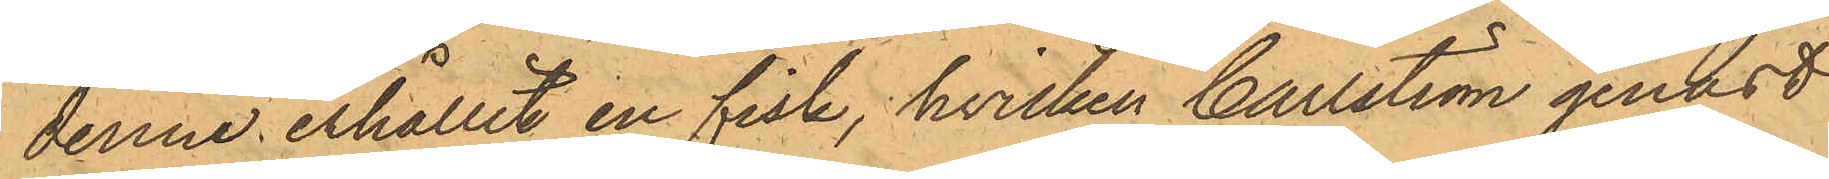denne erhållit en fisk, hvilken Carlström genast
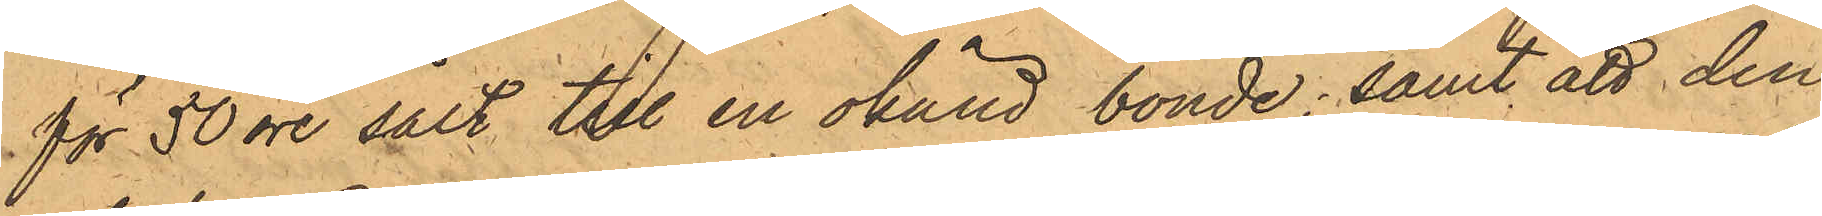för 50 öre sålt till en okänd bonde; samt att den
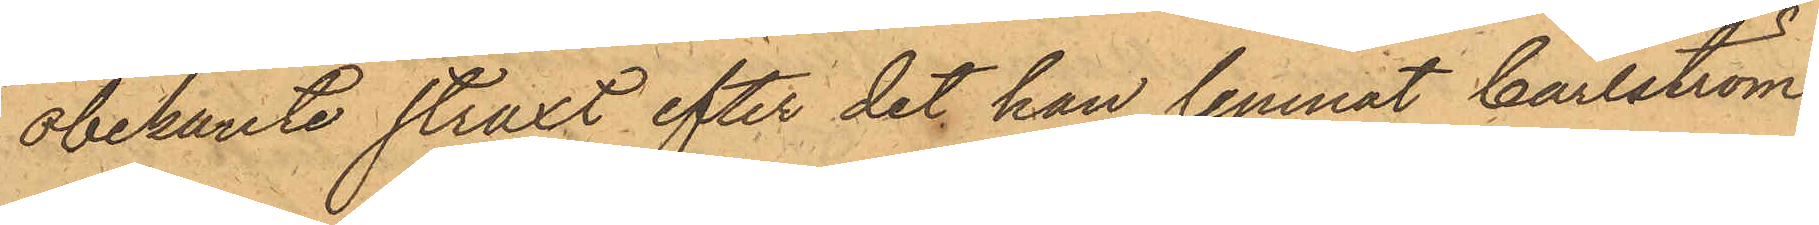obekante straxt efter det han lemnat Carlström
